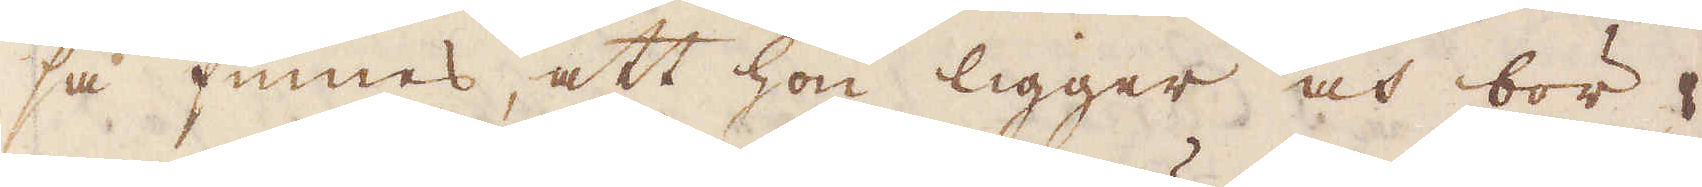så finnes, att hon ligger och bör
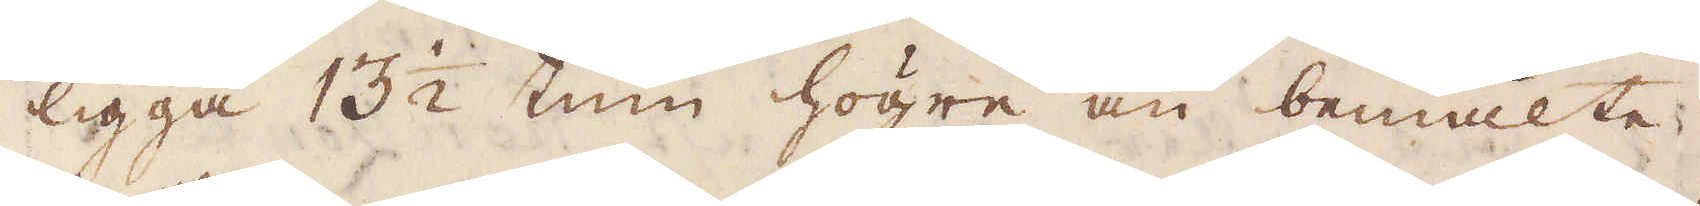ligga 13 1/2 tum högre än bemälte
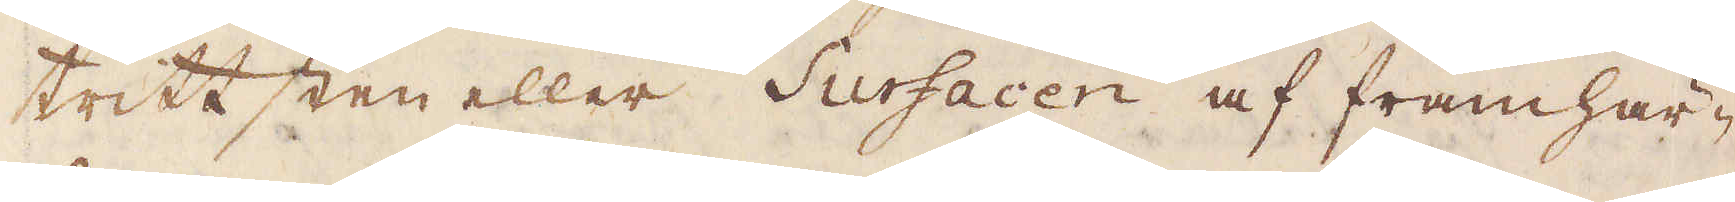trittsten eller Surfacen af framhär-
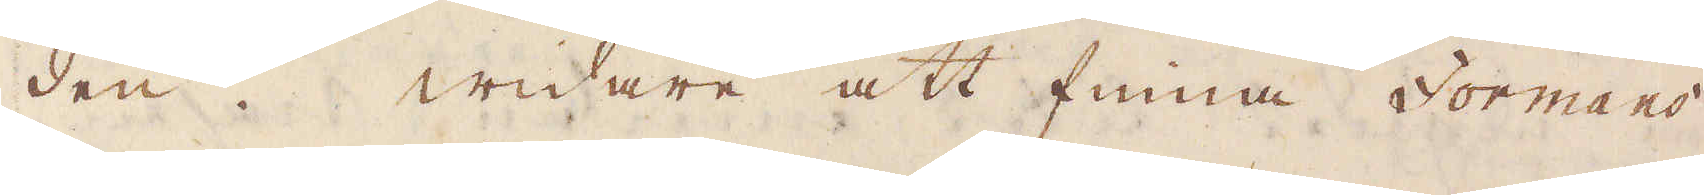den. Widare att finna Formans
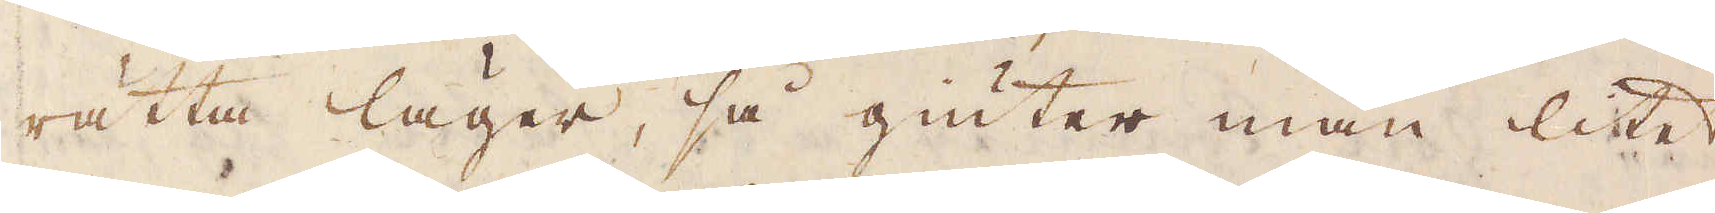rätta läger, så giuter man litet
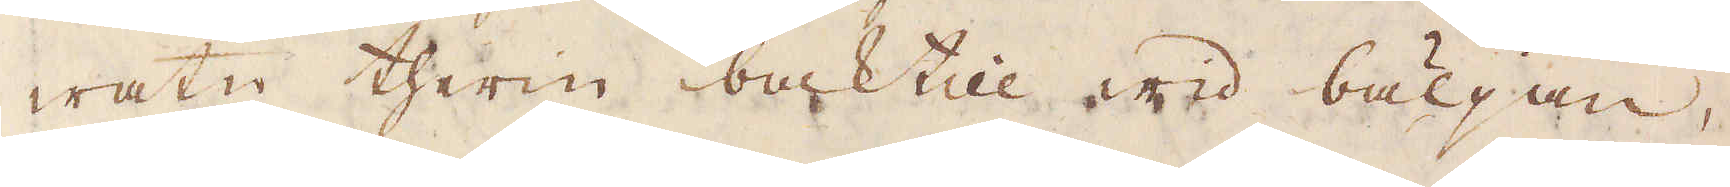watn therin baktill wid bäljan,
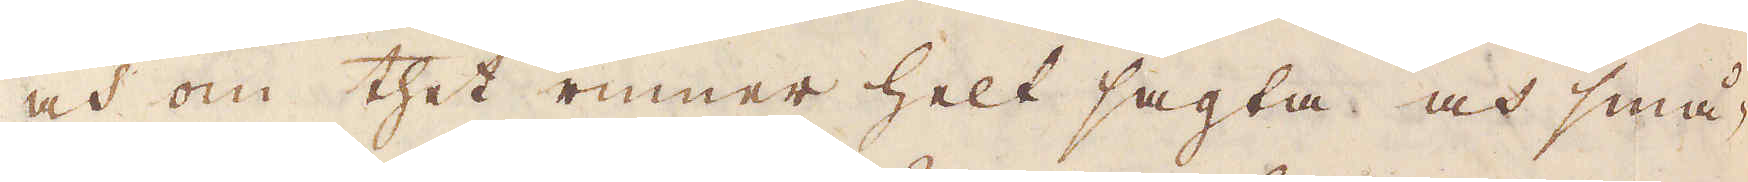och om thet rinner helt sagta och små-
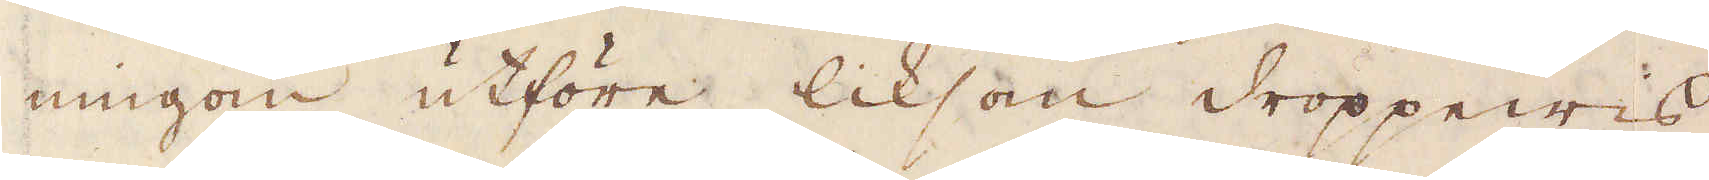ningom utföre liksom droppewis
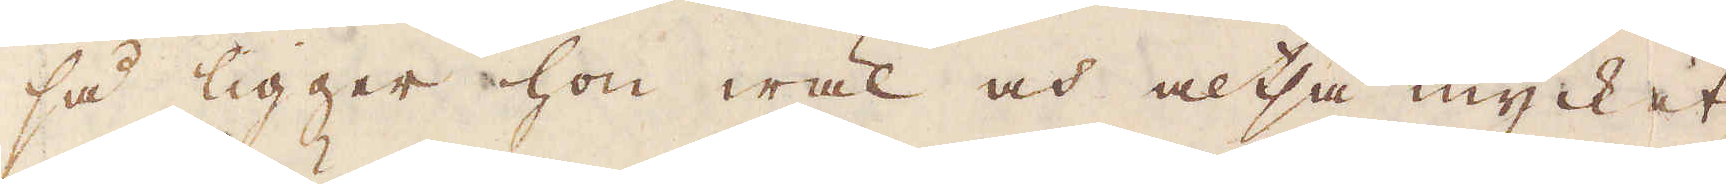så ligger hon wäl och altså mycket
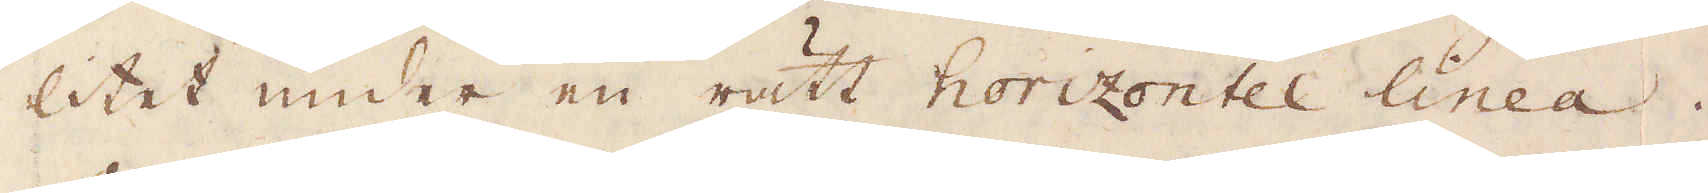litet under en rätt horizontel linea.
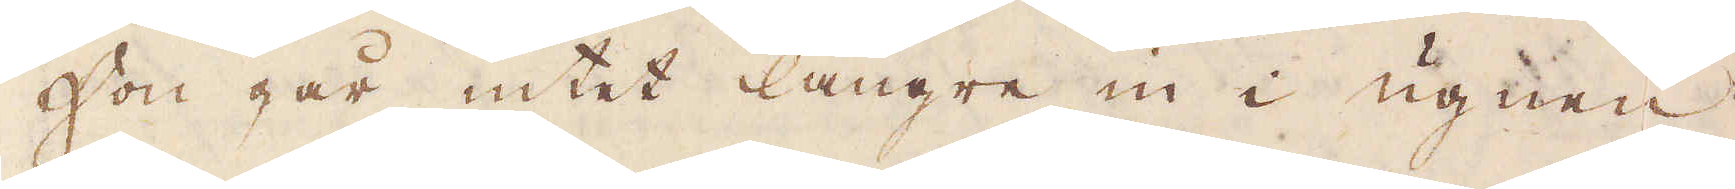Hon går intet längre in i ugnen
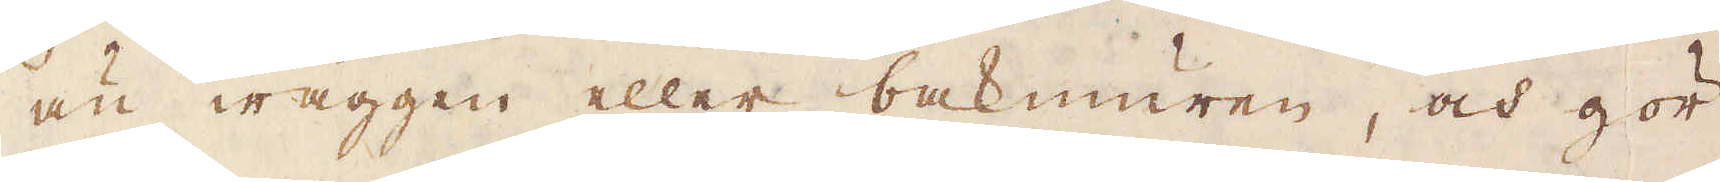än wäggen eller bakmuren, och gör
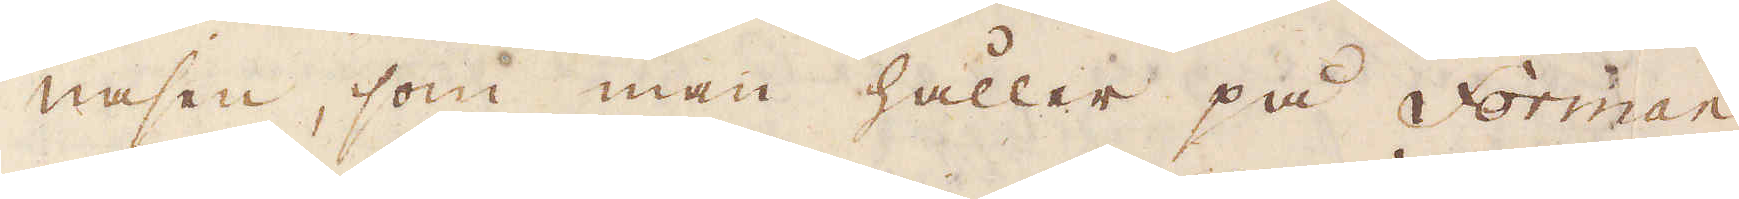nasen, som man håller på Forman
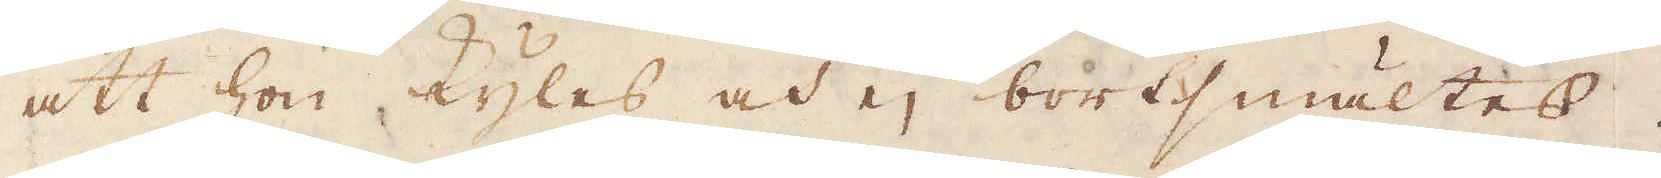att hon kyles och ej bortsmältes.
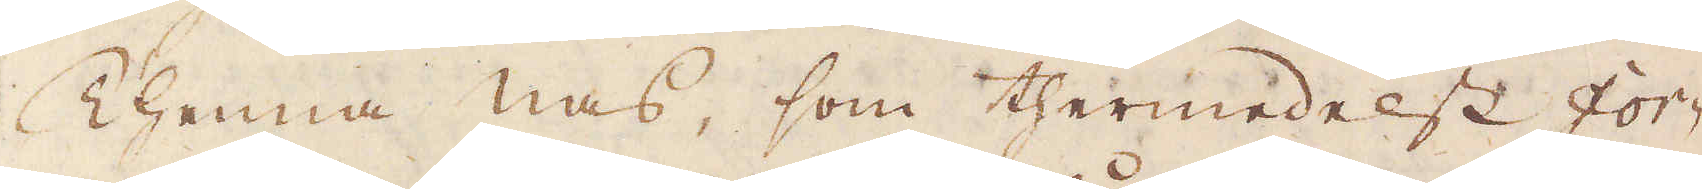Thenna nas, som thermedelst For-
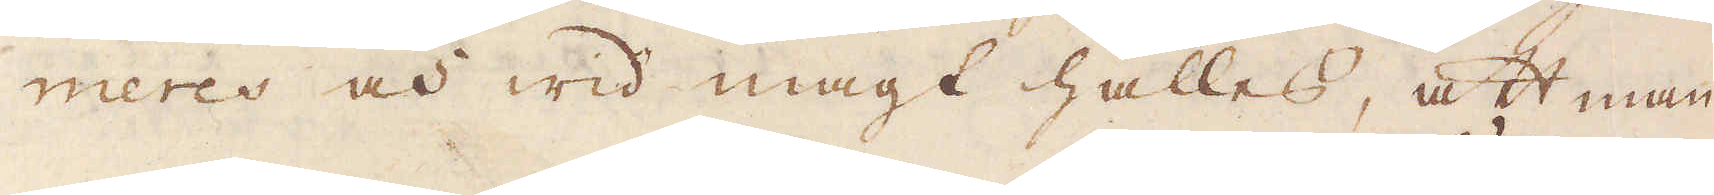meres och wid magt hålles, att man
